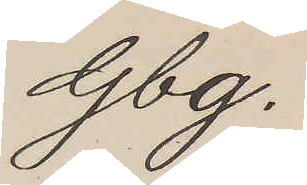Gbg.
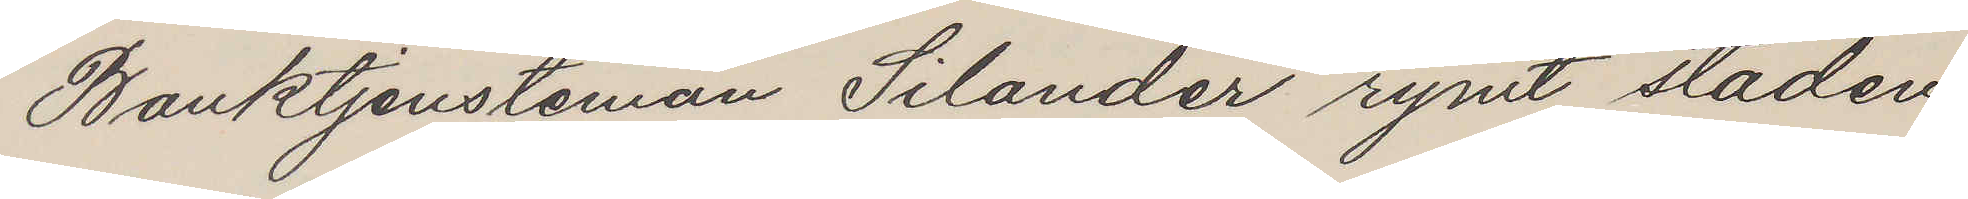Banktjensteman Silander rymt staden
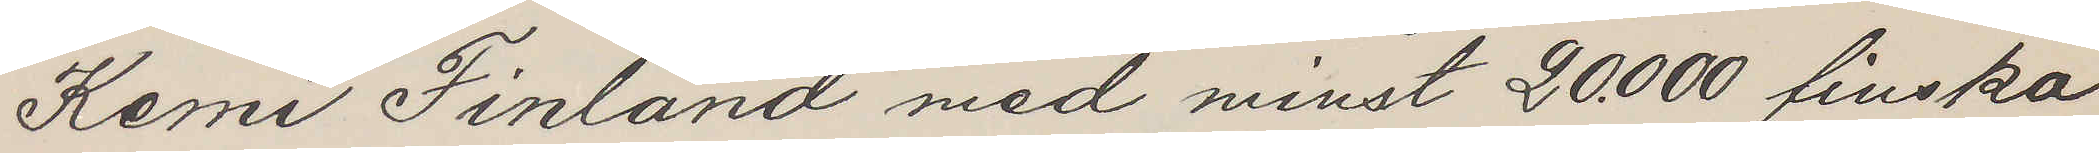Kemi Finland med minst 20.000 finska
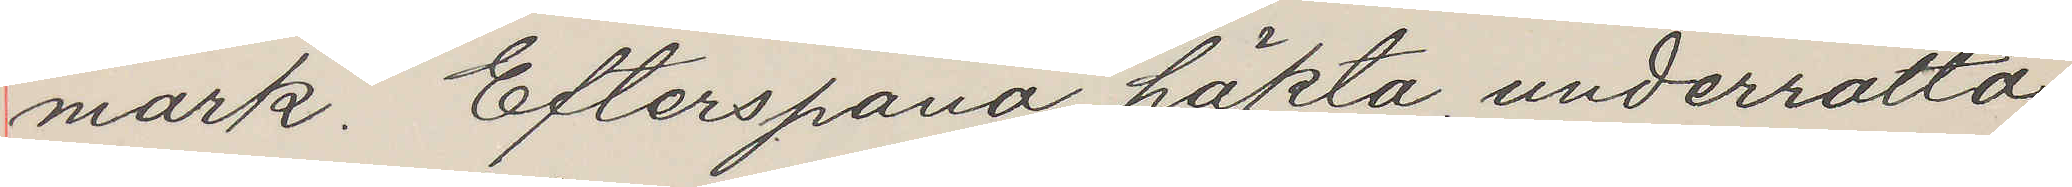mark. Efterspana, häkta, underrätta.
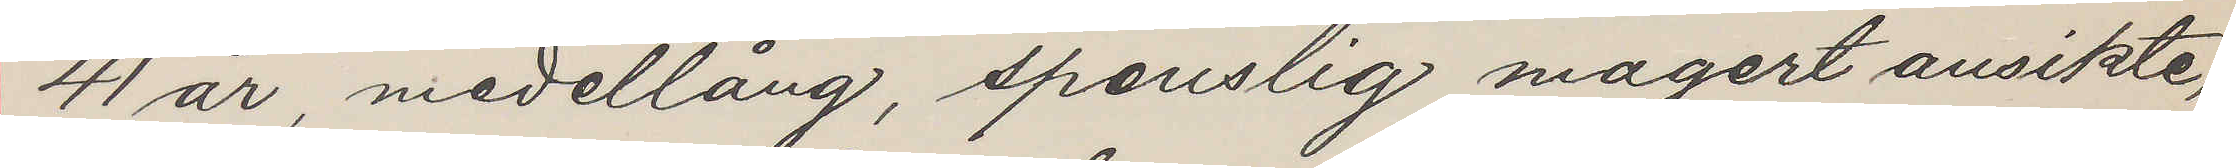41 år, medellång, spenslig, magert ansikte,
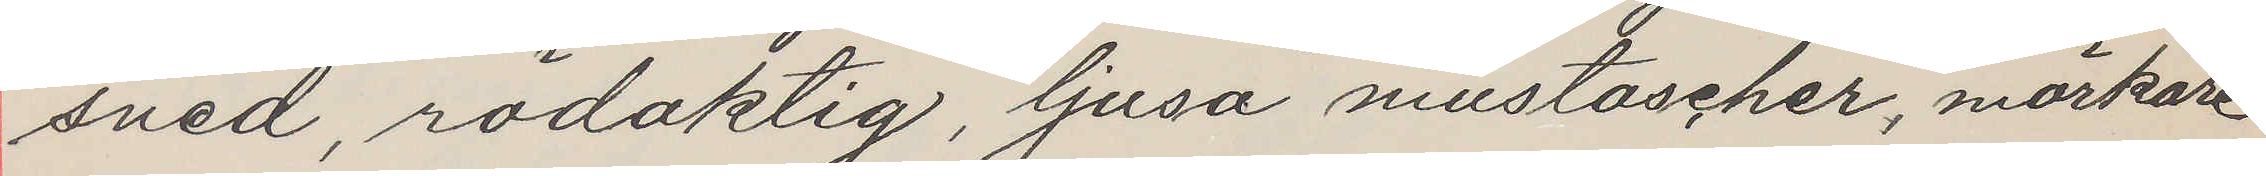sned, rödaktig, ljusa mustascher, mörkare
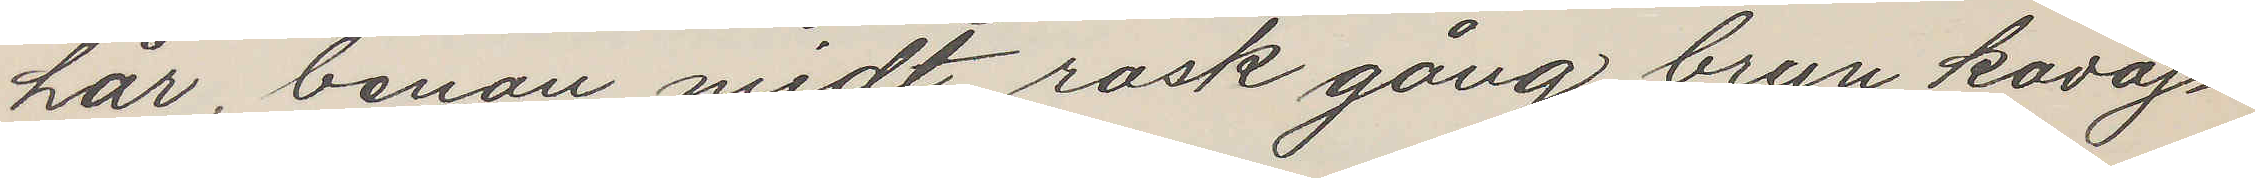hår, benan midt, rask gång, brun kavaj¬
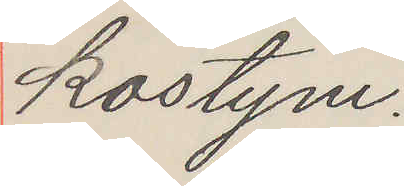kostym.
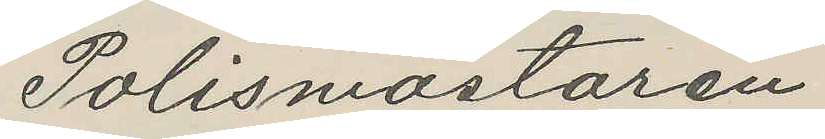Polismästaren
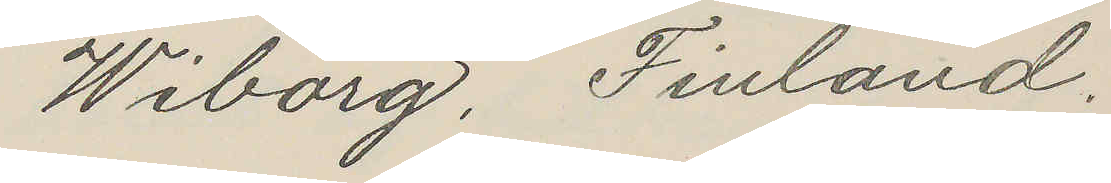Wiborg, Finland.
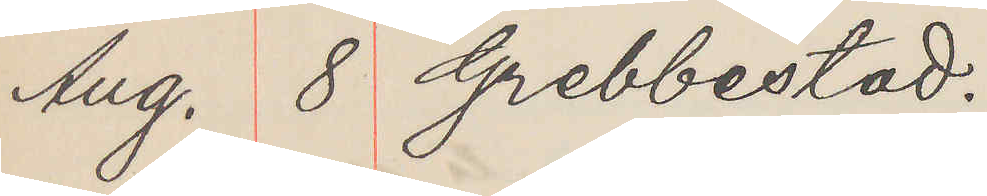Aug. 8 Grebbestad.
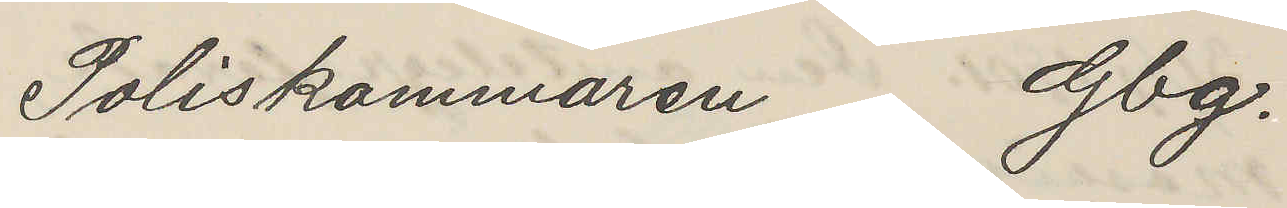Poliskammaren Gbg.
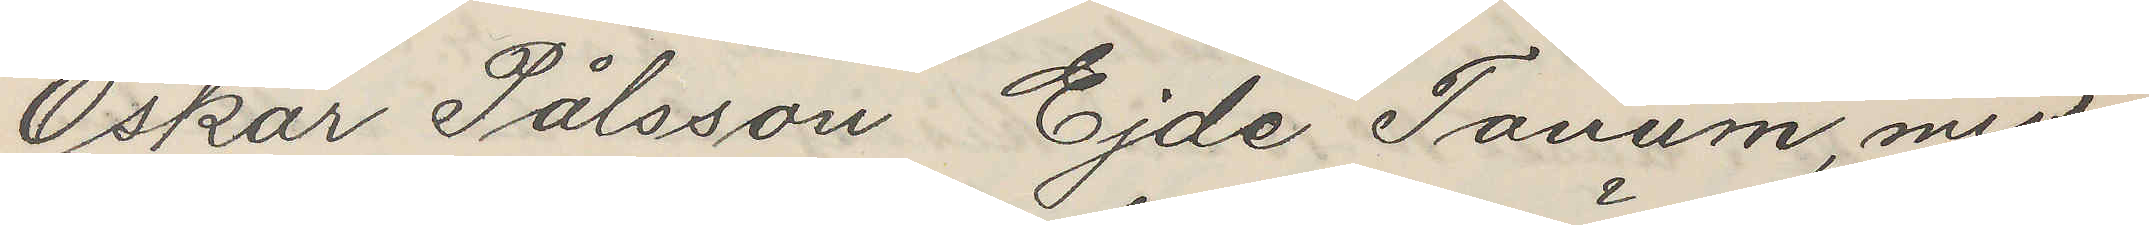Oskar Pålsson Ejde Tanum, miss¬
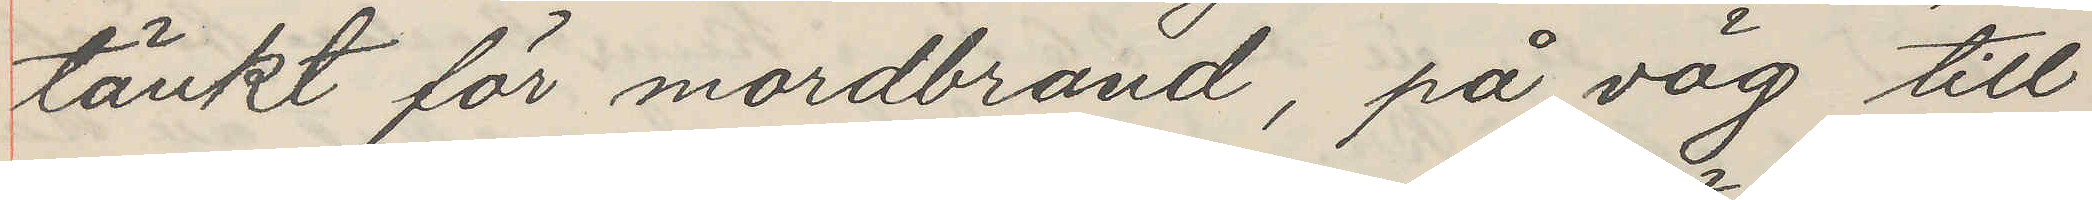tänkt för mordbrand, på väg till
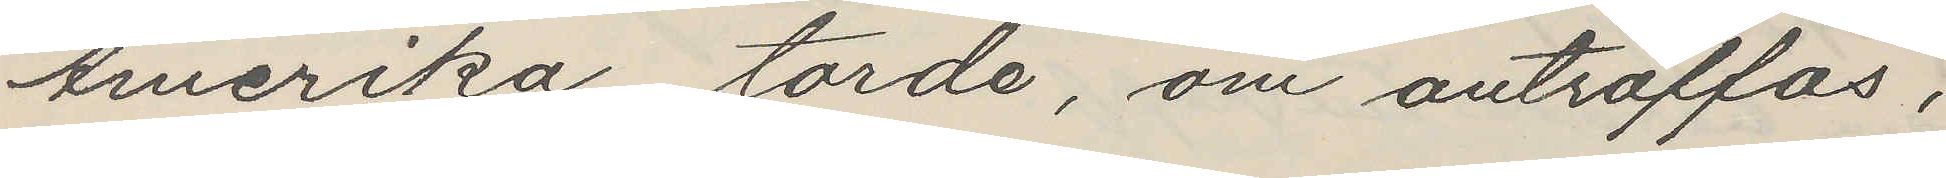Amerika, torde, om anträffas,
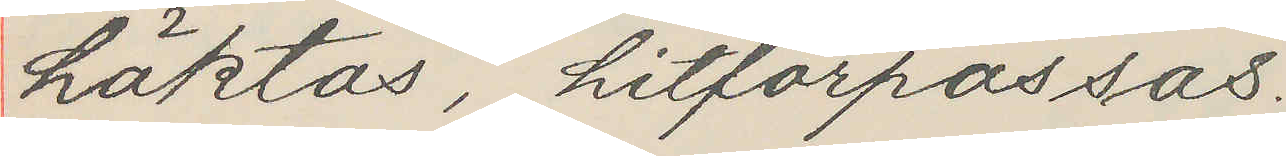häktas, hitförpassas.
